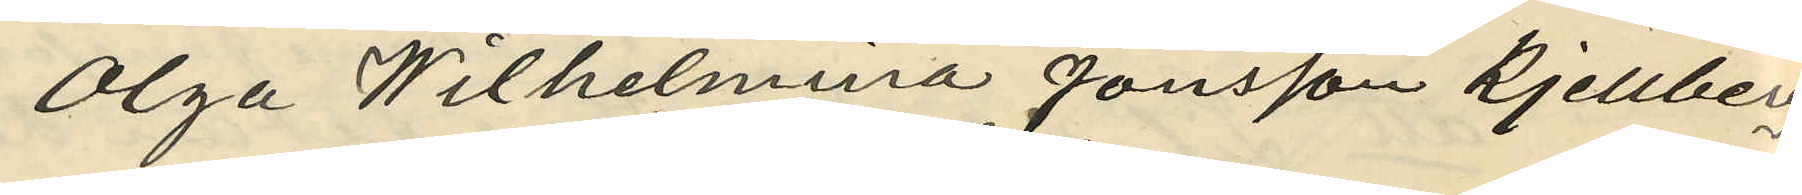Olga Wilhelmina Jönsson Kjellberg
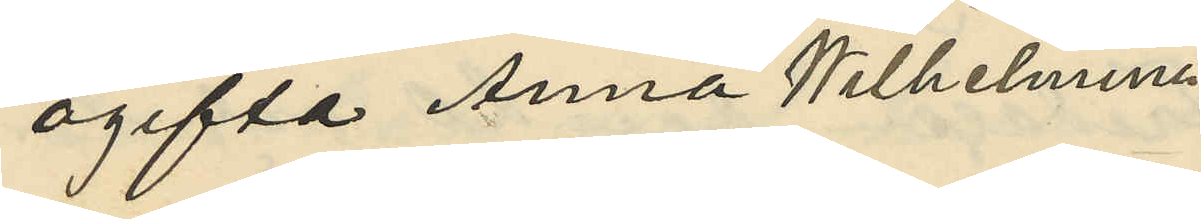ogifta Anna Wilhelmina
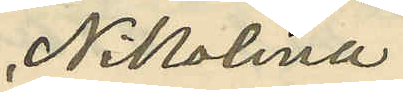Nikolina
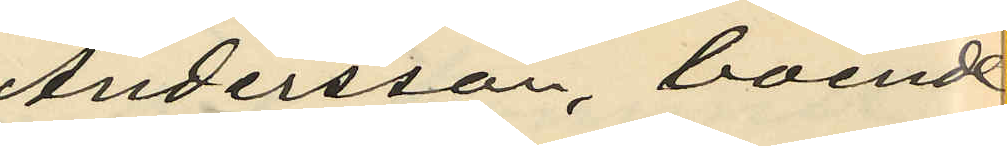Andersson, boende
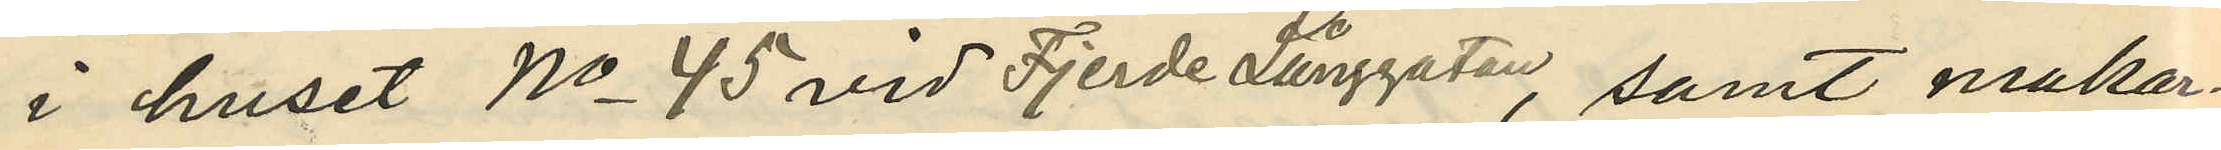i huset No 45 vid Fjerde Långgatan, samt makar¬
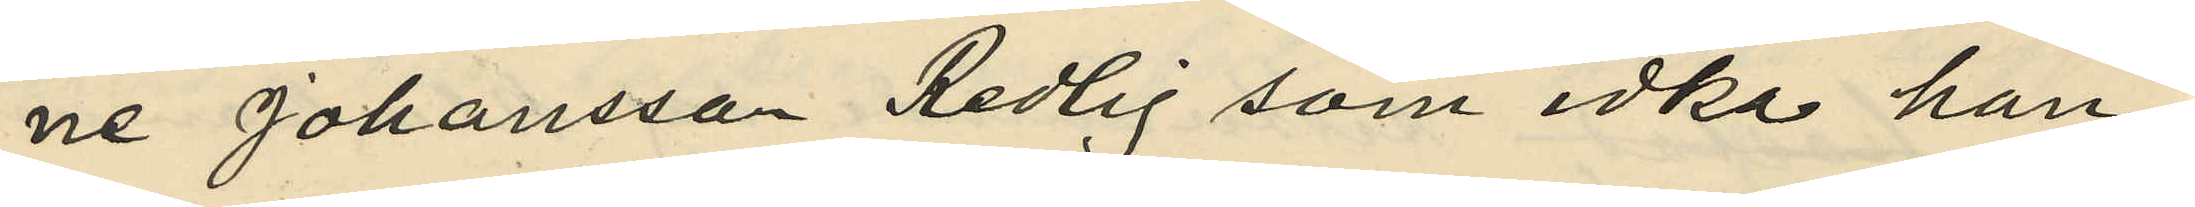ne Johansson Redlig som idka han¬
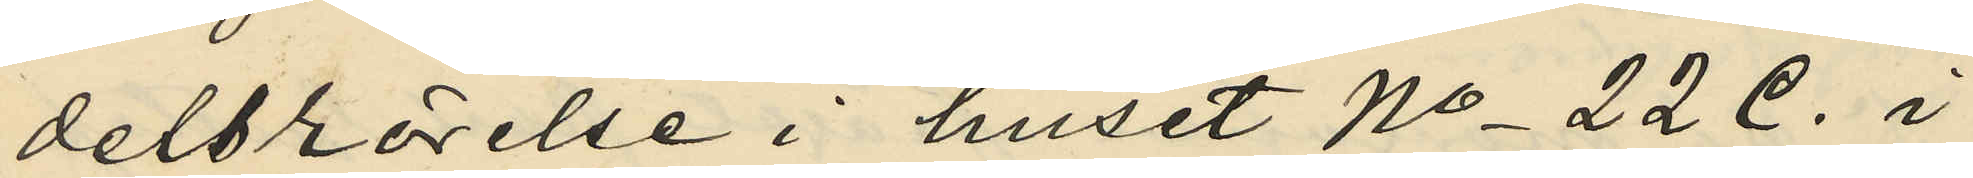delsrörelse i huset No 22 C. i
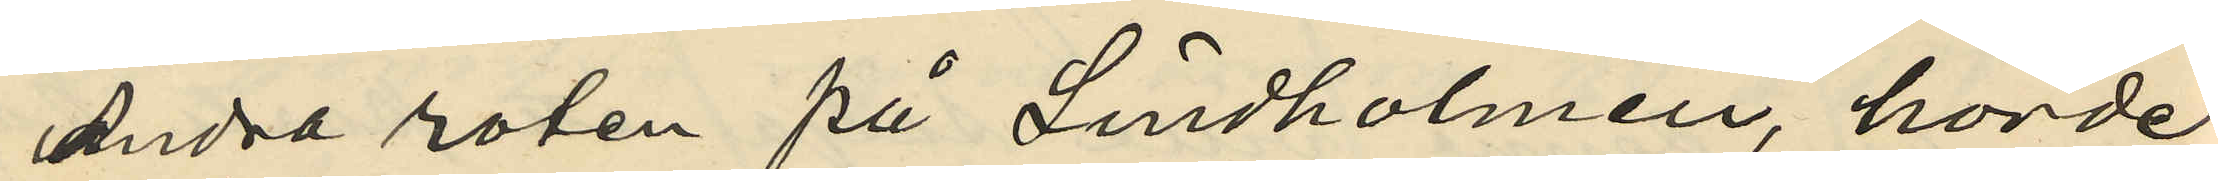Andra roten på Lindholmen, hörde
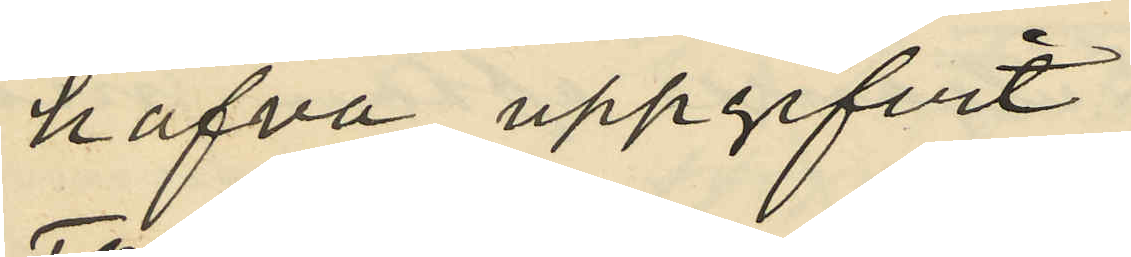hafva uppgifvit:
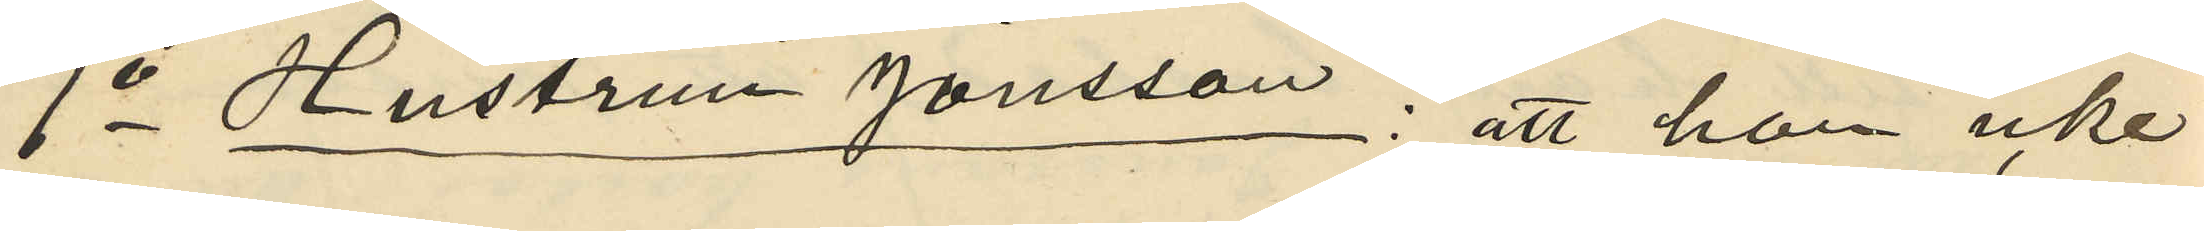1o Hustrun Jönsson; att hon icke
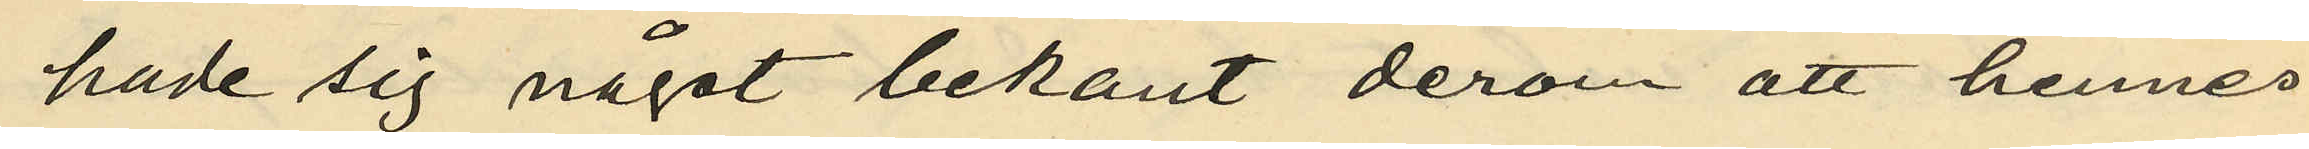hade sig något bekant derom att hennes
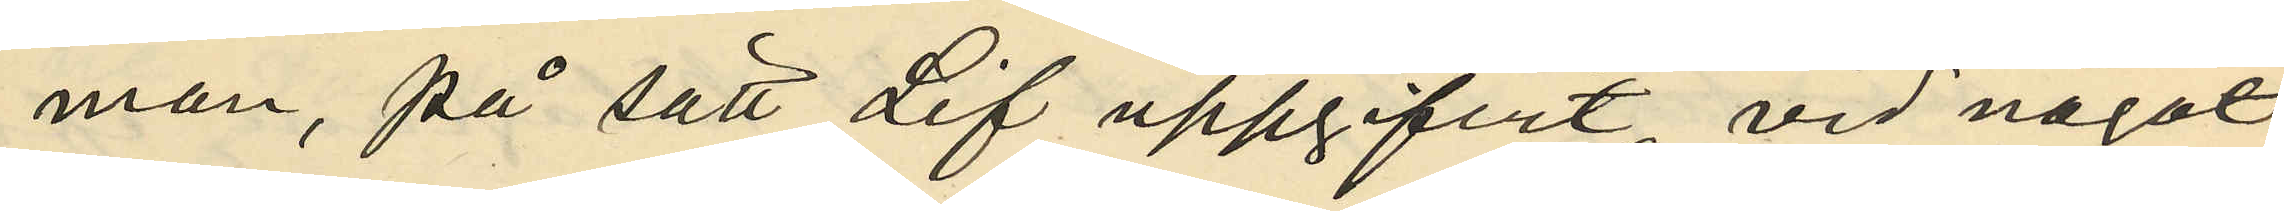man, på sätt Lif uppgifvit, vid något
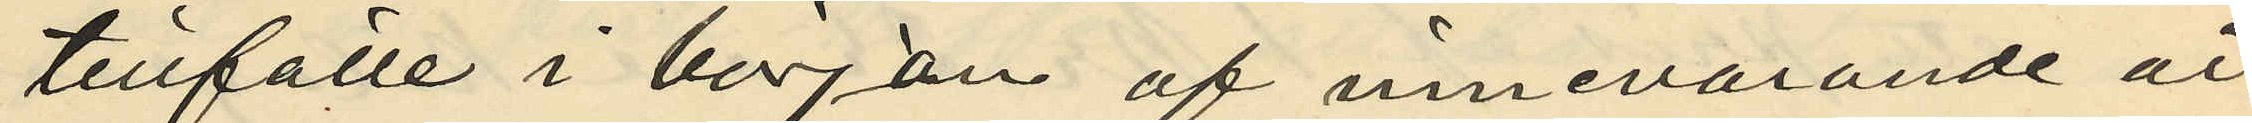tillfälle i början af innevarande år
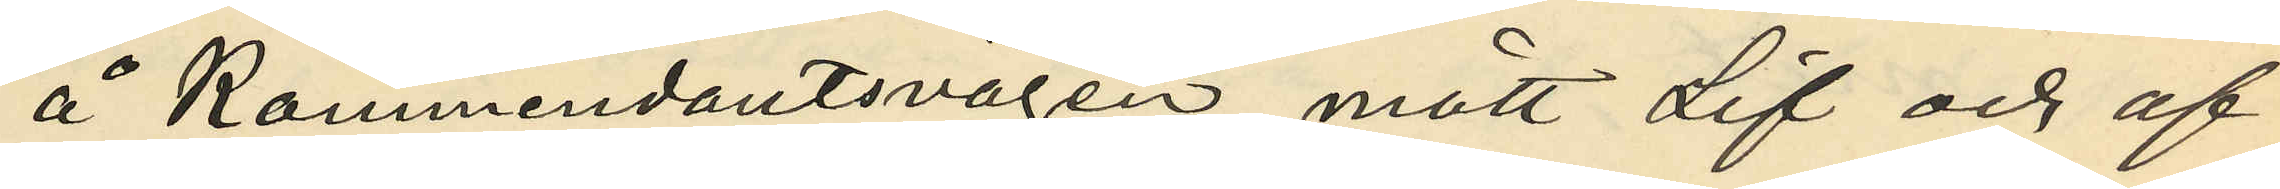å Kommendantsvägen mött Lif och af
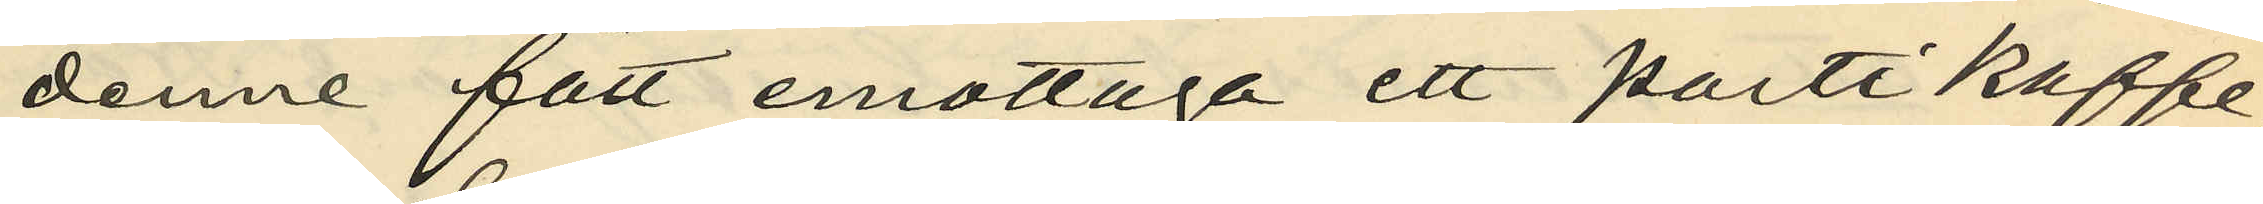denne fått emottaga ett parti kaffe
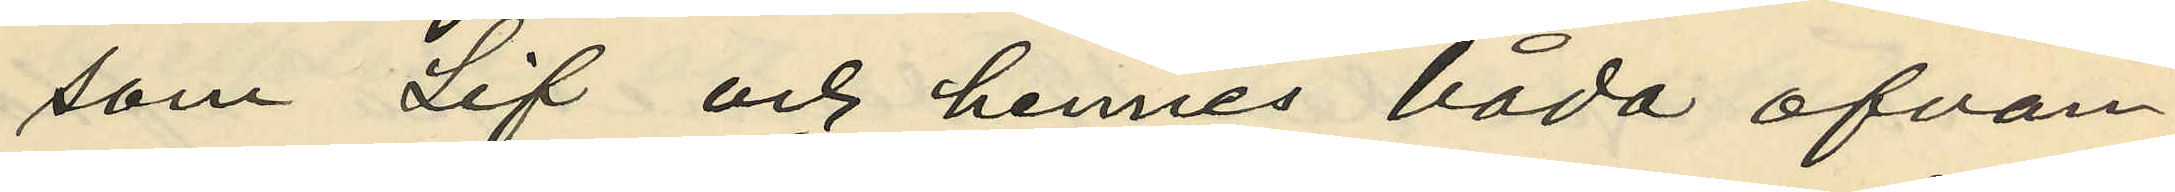som Lif och hennes båda ofvan¬
